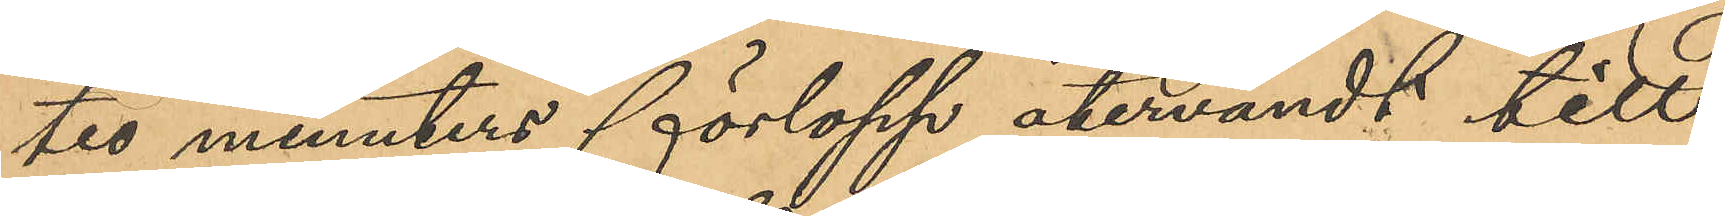tio minuters förlopp återvändt till
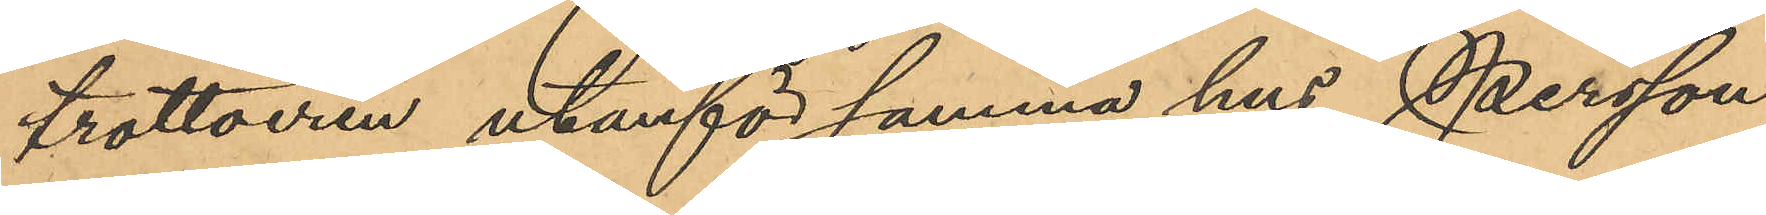trottoiren utanför samma hus, Persson
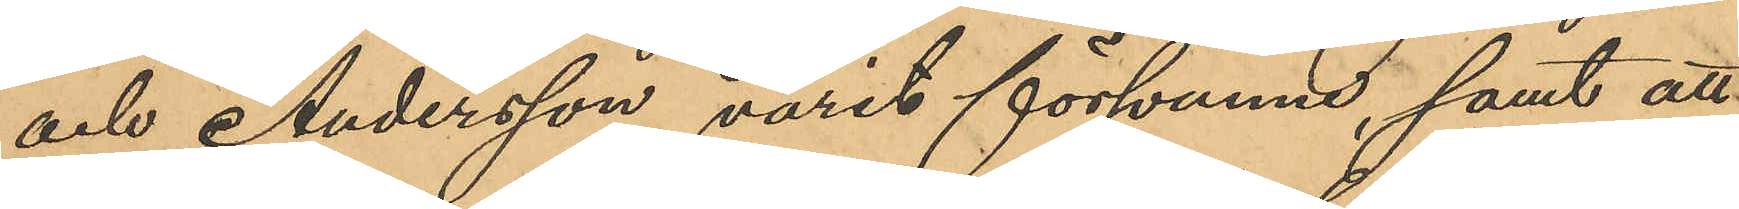och Andersson varit försvunne, samt att
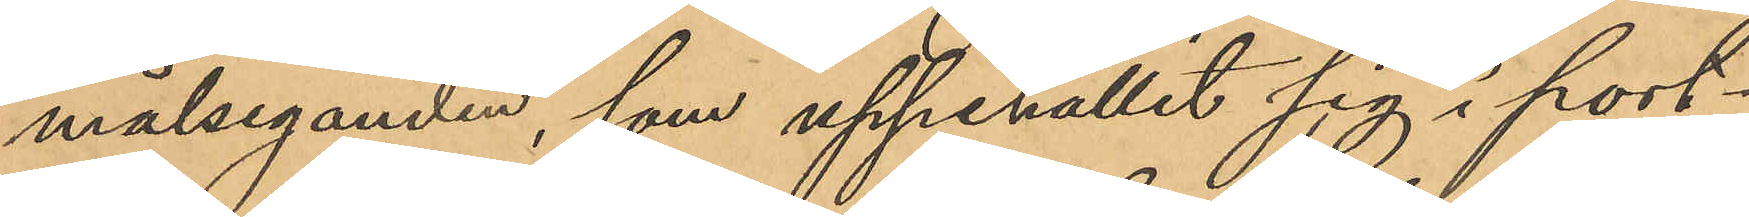målseganden, som uppehållit sig i port¬
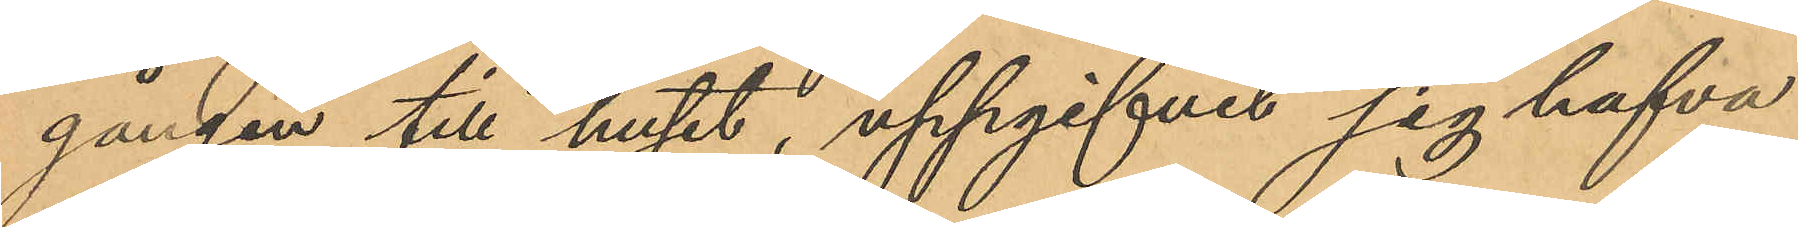gången till huset, uppgifvit sig hafva
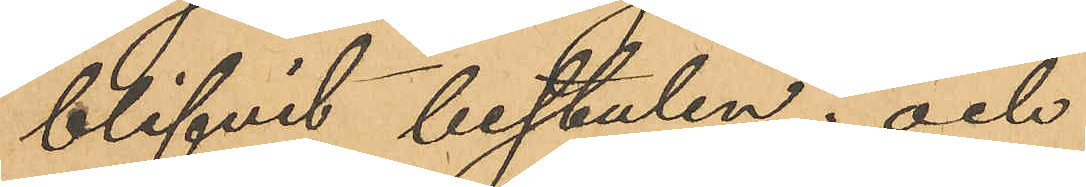blifvit bestulen; och
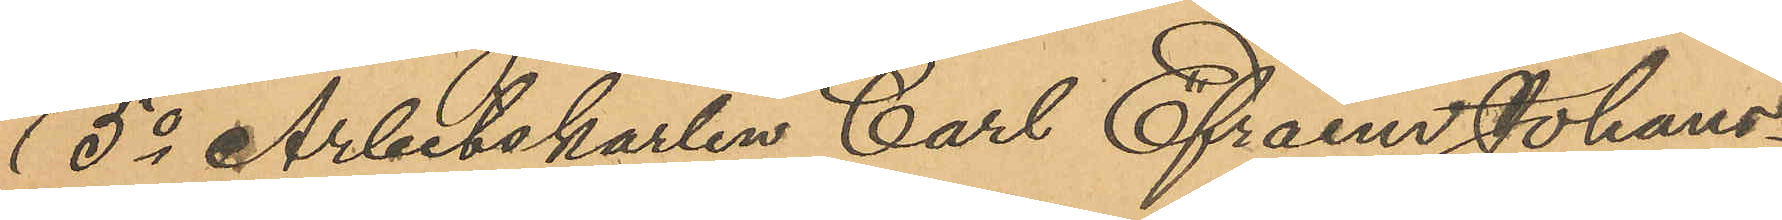5o Arbetskarlen Carl Efraim Johans¬
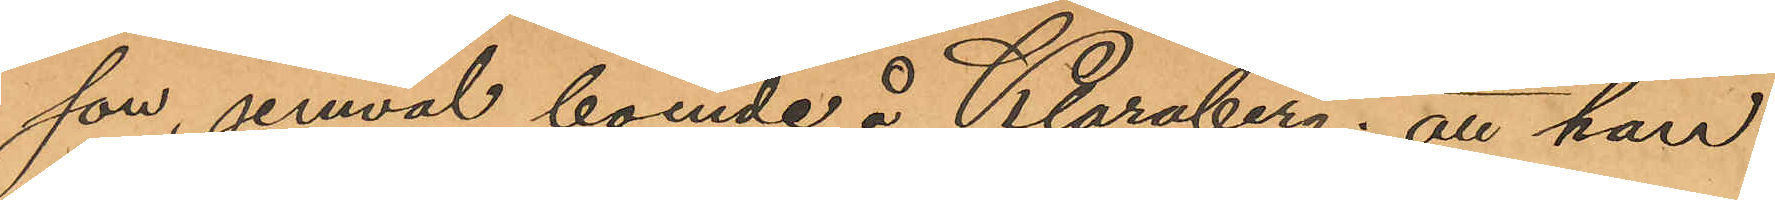son, jemväl boende å Klaraberg; att han
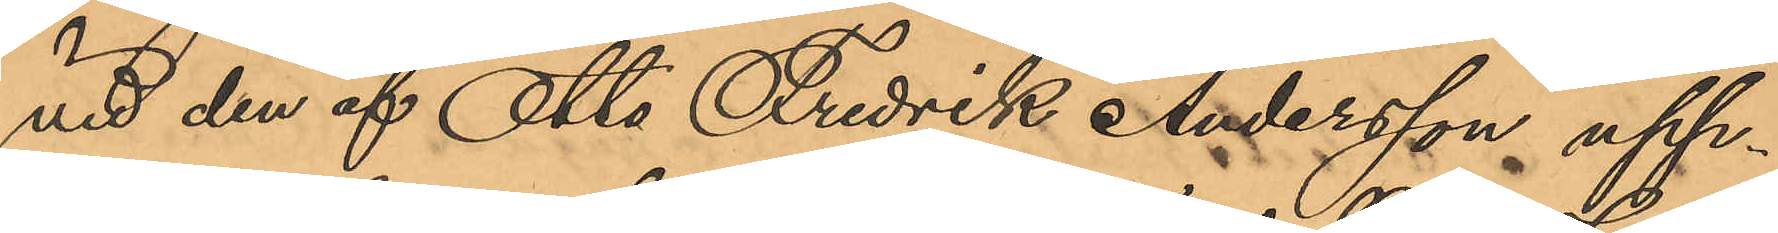vid den af Otto Fredrik Andersson upp¬
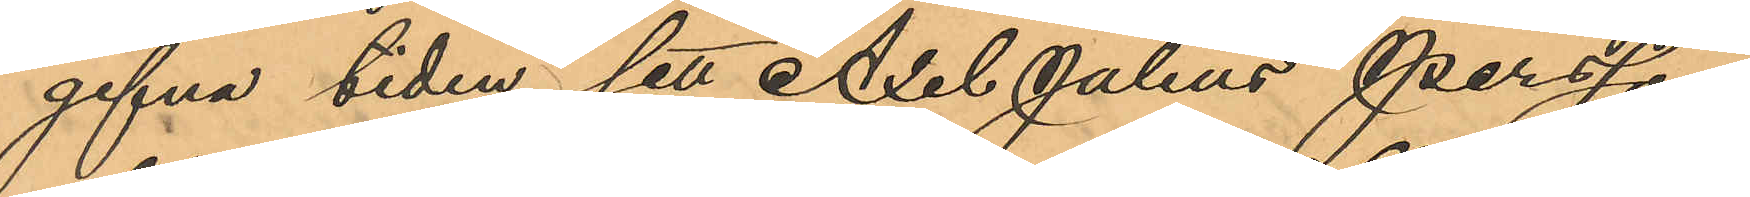gifna tiden sett Axel Julius Persson
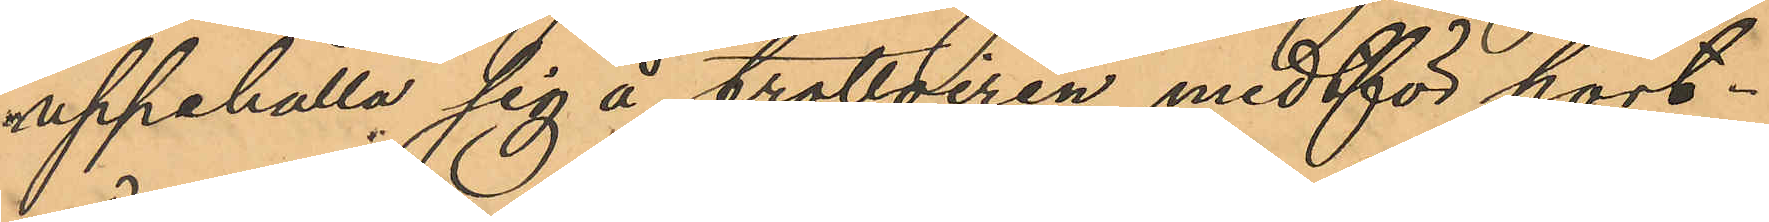uppehålla sig å trottoiren midtför port¬
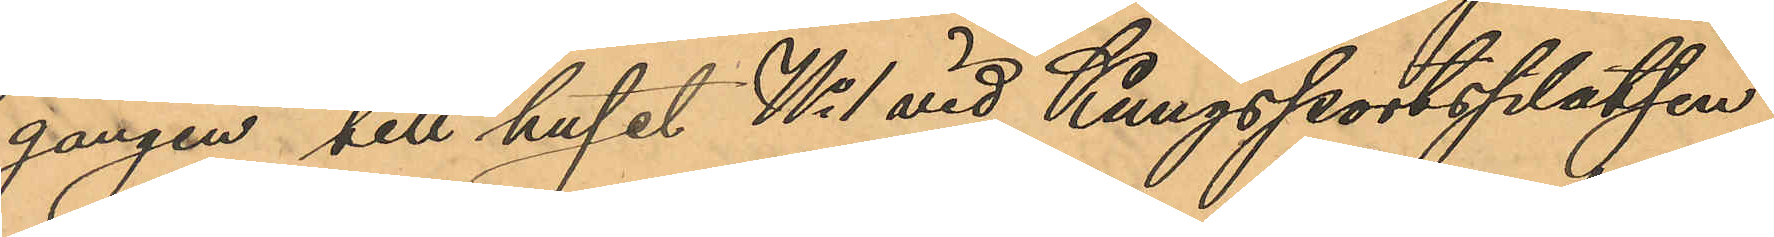gången till huset No 1 vid Kungsportsplatsen,
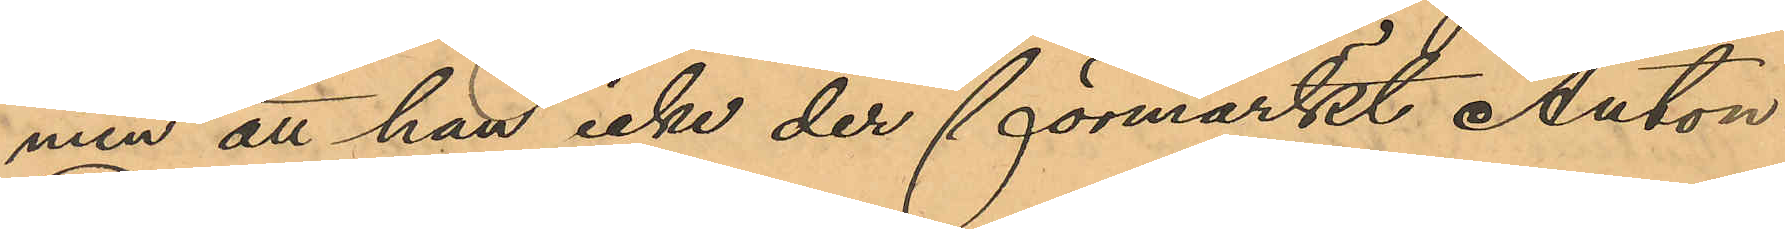men att han icke der förmärkt Anton
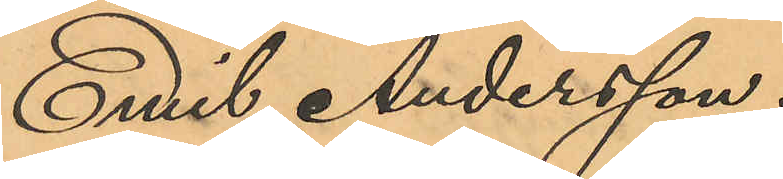Emil Andersson.
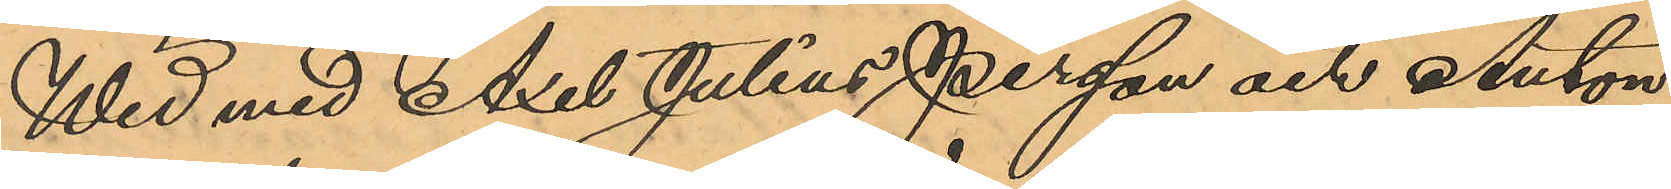Wid med Axel Julius Persson och Anton
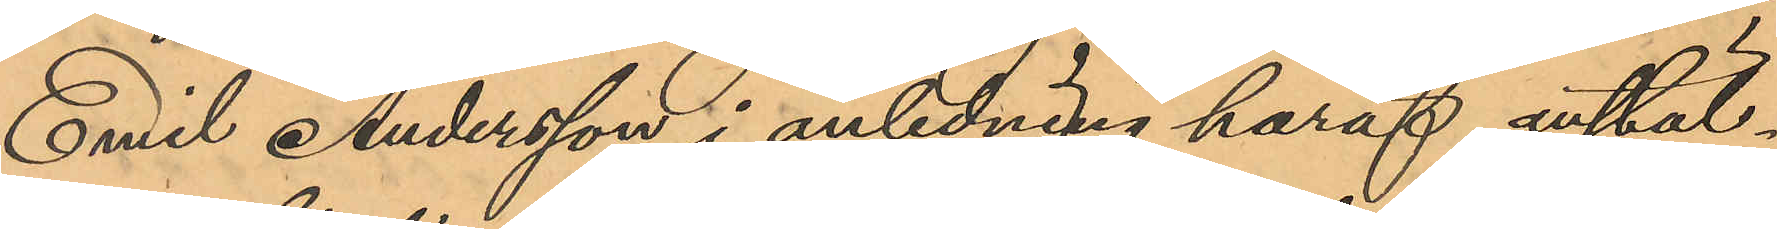Emil Andersson i anledning häraf anstäl¬
